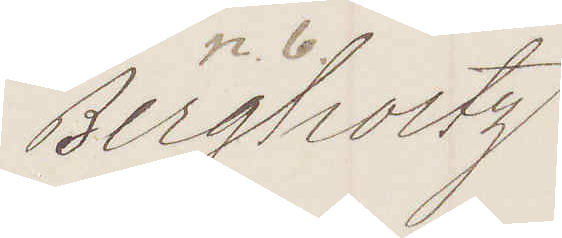Bergholtz
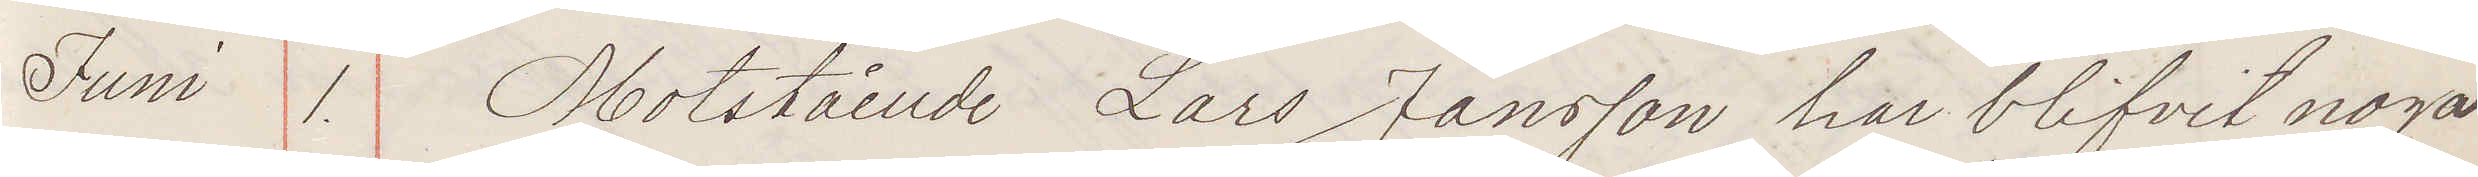Juni 1. Motstående Lars Jansson har blifvit noga
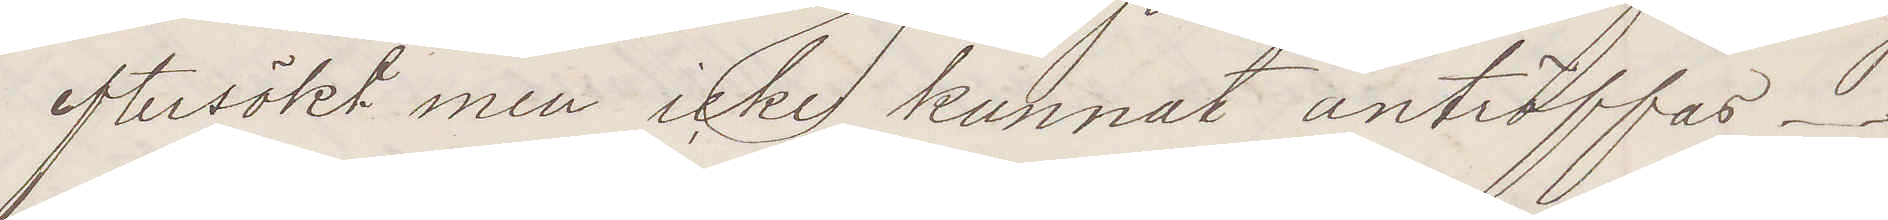     eftersökt men icke kunnat anträffas.
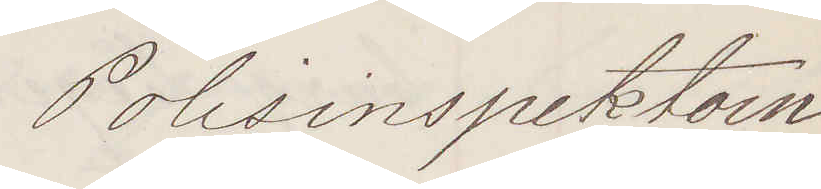Polisinspektorn
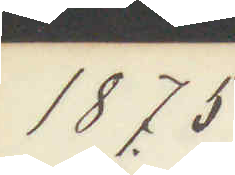1875.
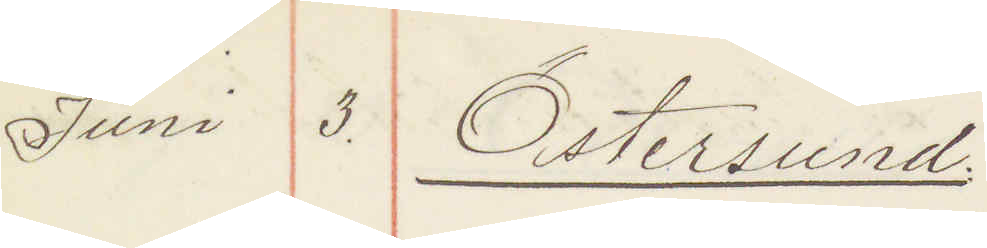Juni 3. Östersund
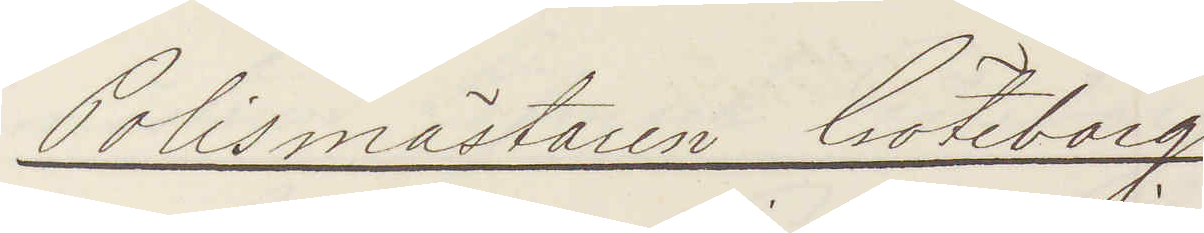Polismästaren Göteborg
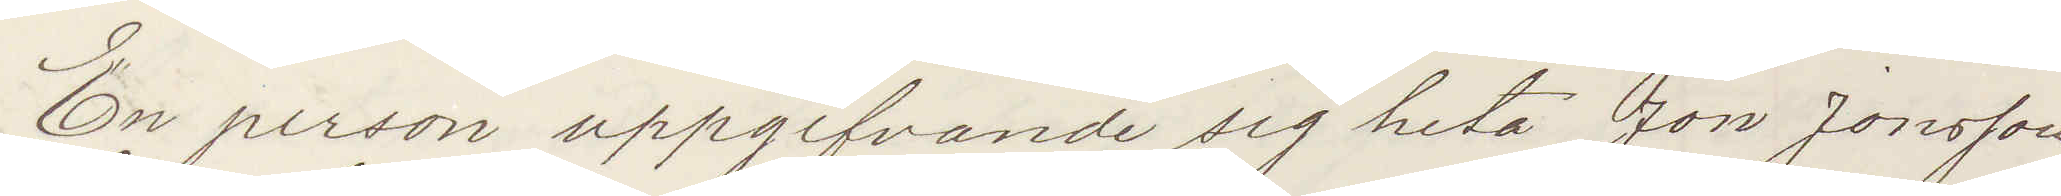En person uppgifvande sig heta Jon Jonsson
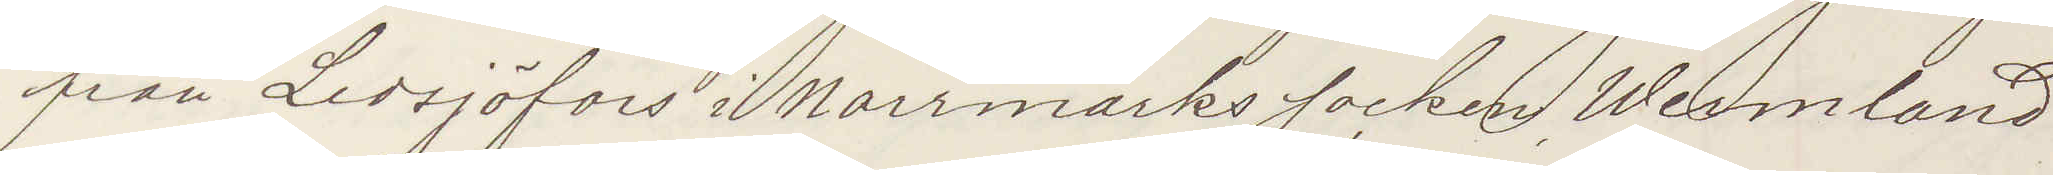från Lersjöfors i Norrmarks socken, Wermland
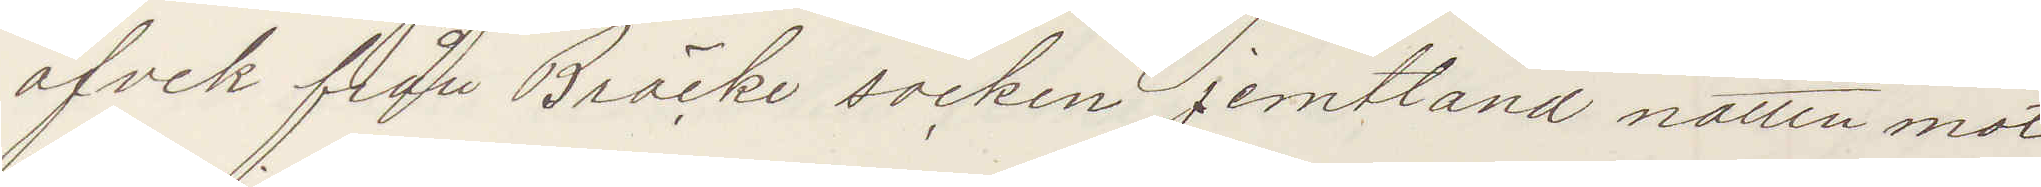afvek från Bräcke socken jemtland natten mot
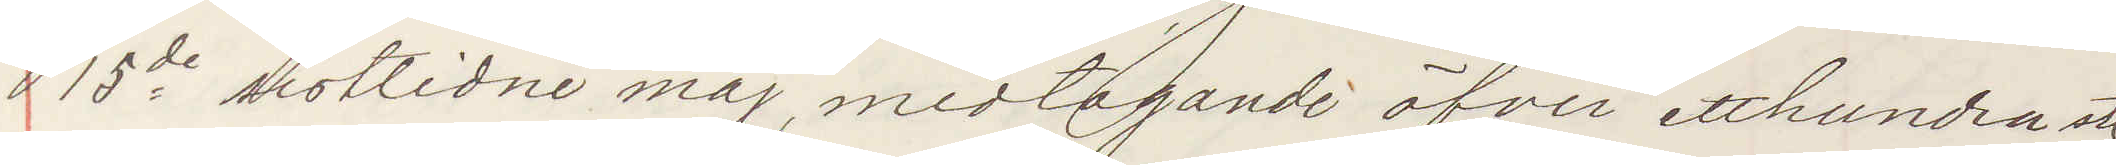15de sistlidne maj, medtagande öfver etthundra st
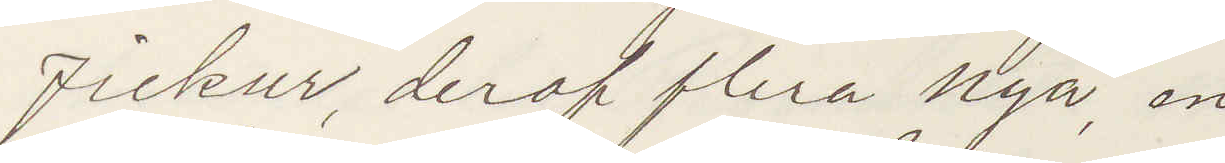fickur, deraf flera nya, en
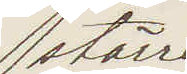större
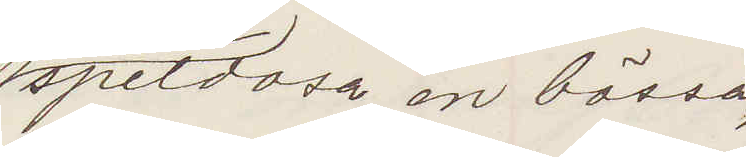speldosa, en bössa,
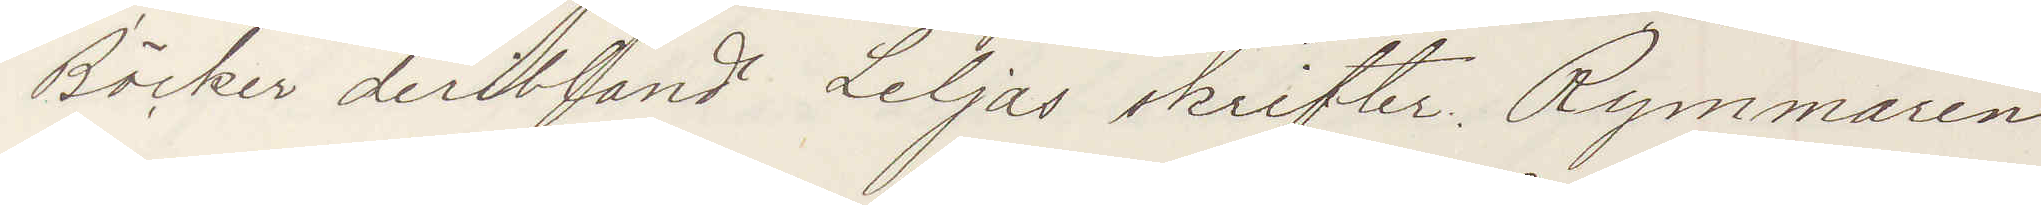Böcker derbland Liljas skrifter. Rymmaren
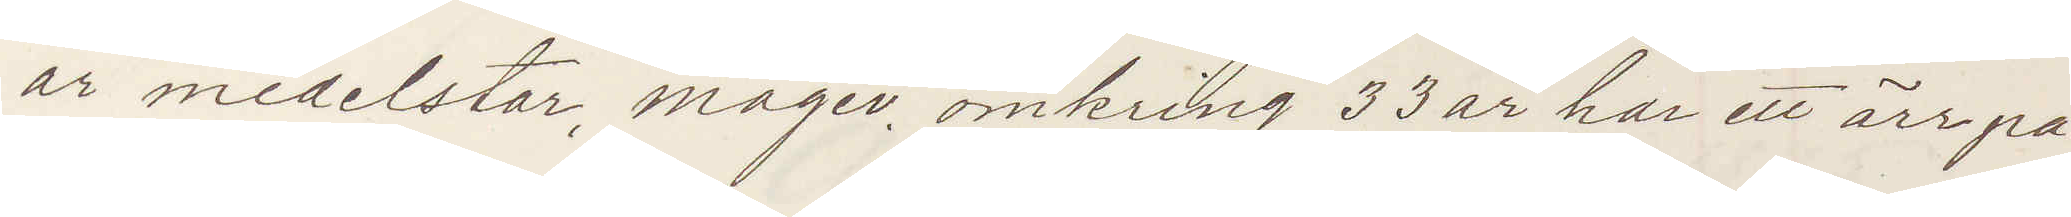är medelstor, mager, omkring 33 år har ett ärr på
